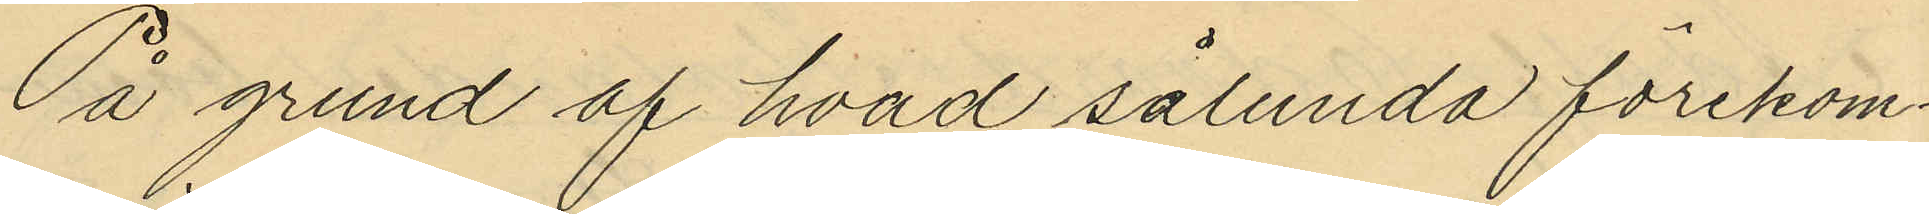På grund af hvad sålunda förekom¬
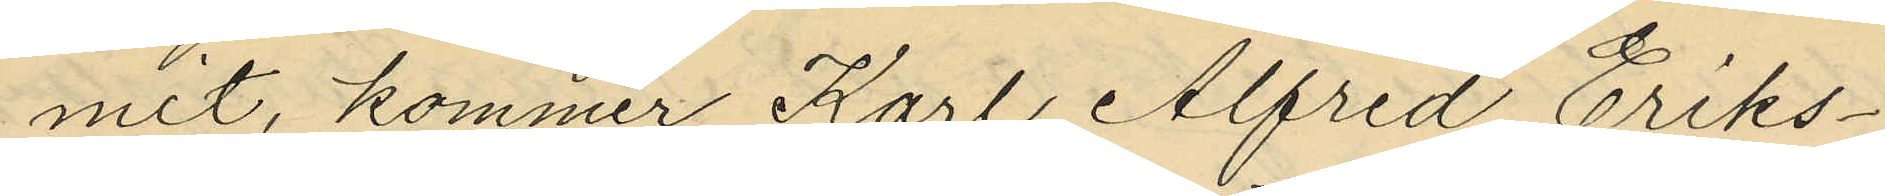mit, kommer Karl Alfred Eriks¬
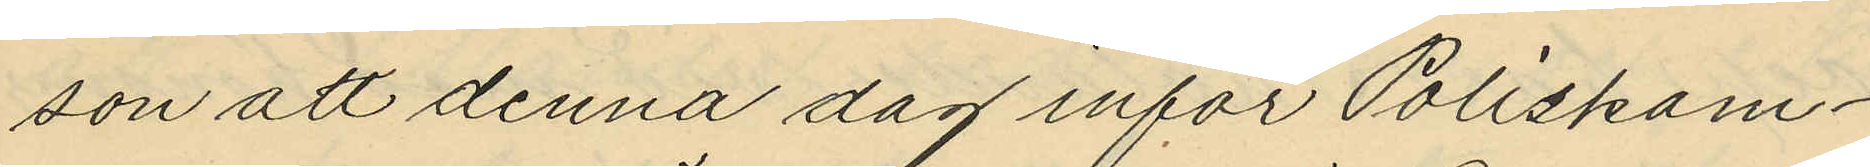son att denna dag inför Poliskam¬
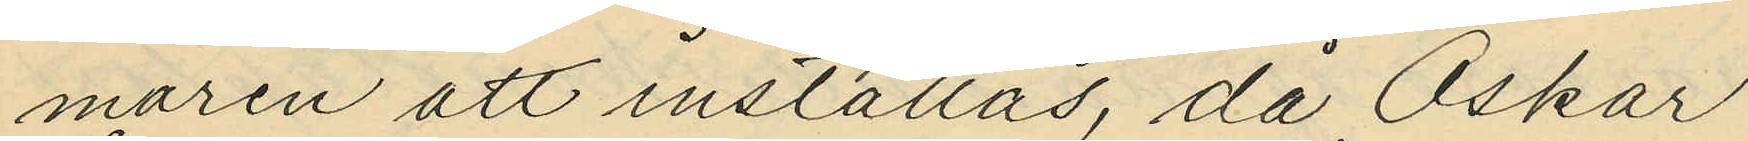maren att inställas, då Oskar
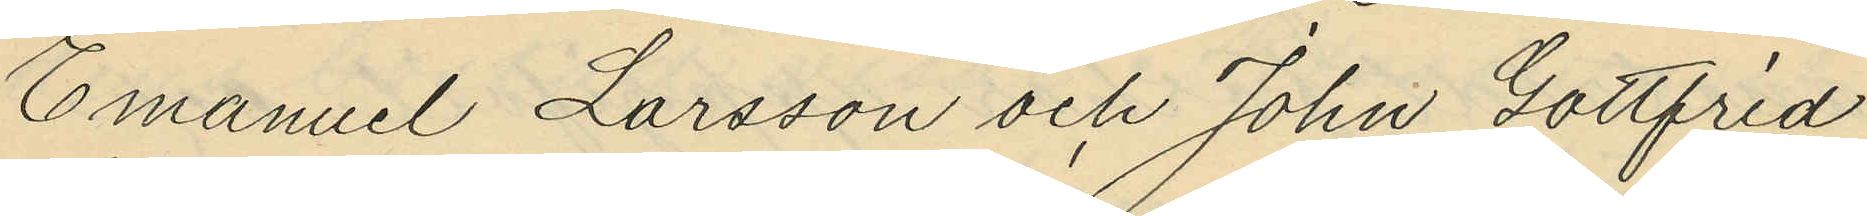Emanuel Larsson och John Gottfrid
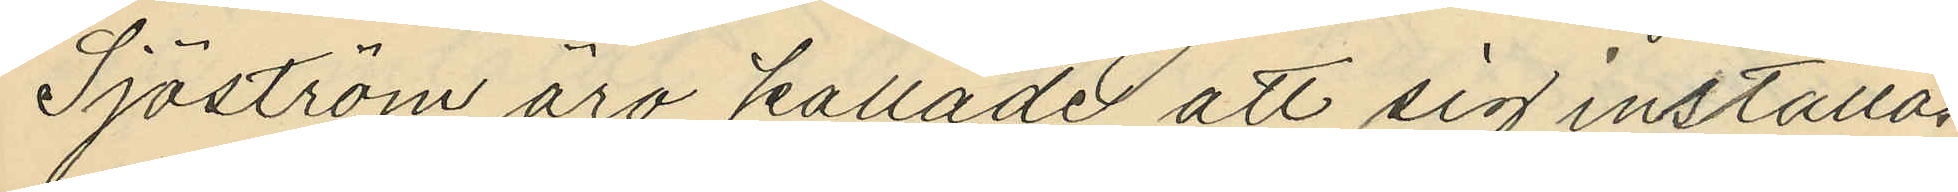Sjöström äro kallade att sig inställa.
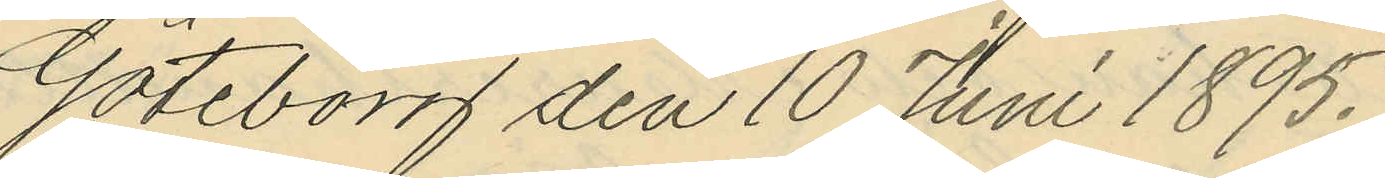Göteborg den 10 Juni 1895.
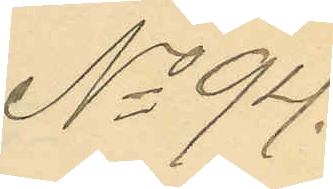No 94.
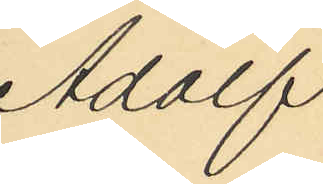Adolf
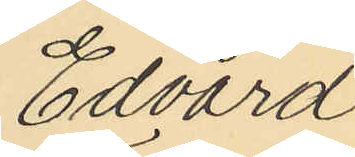Edvard
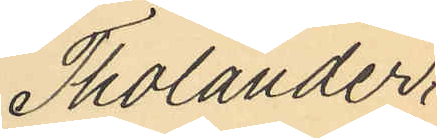Tholander,
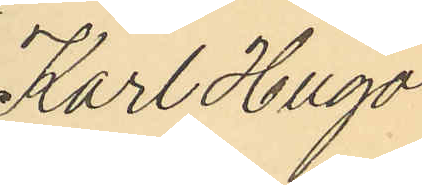Karl Hugo
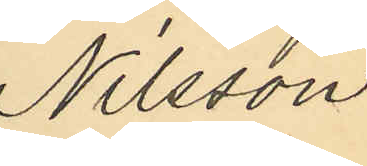Nilsson
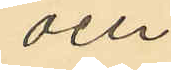och
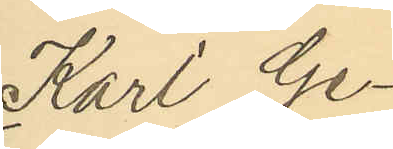Karl Ge¬
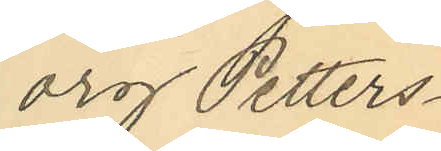org Petters¬
